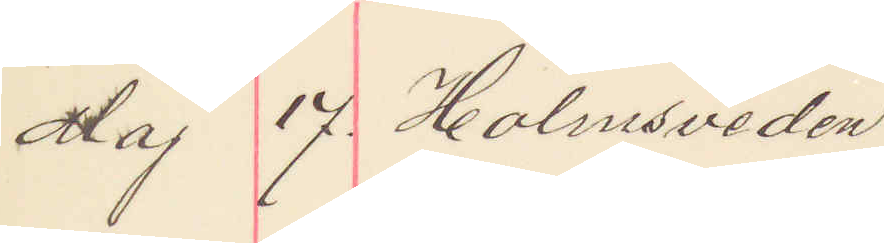Maj 17. Holmsveden.
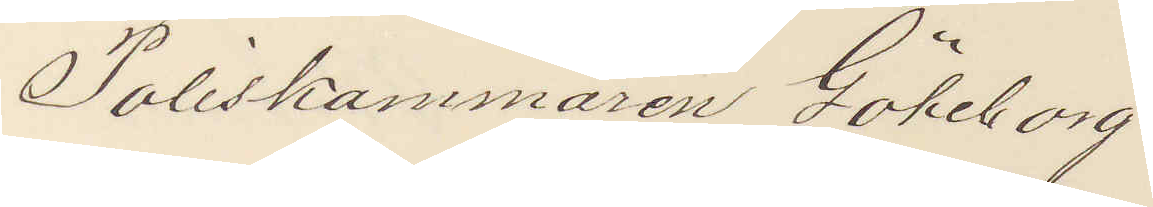Poliskammaren Göteborg.
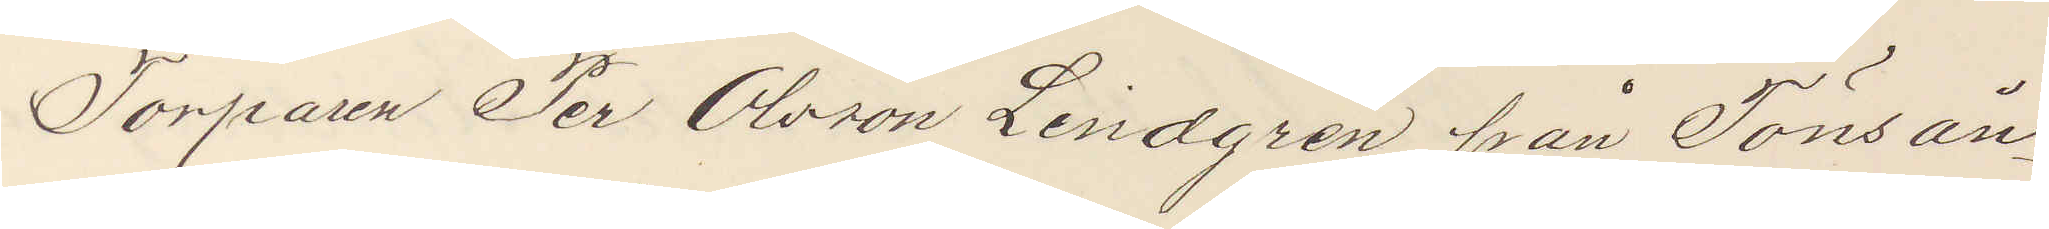Torparen Per Olsson Lindgren från Tönsån¬
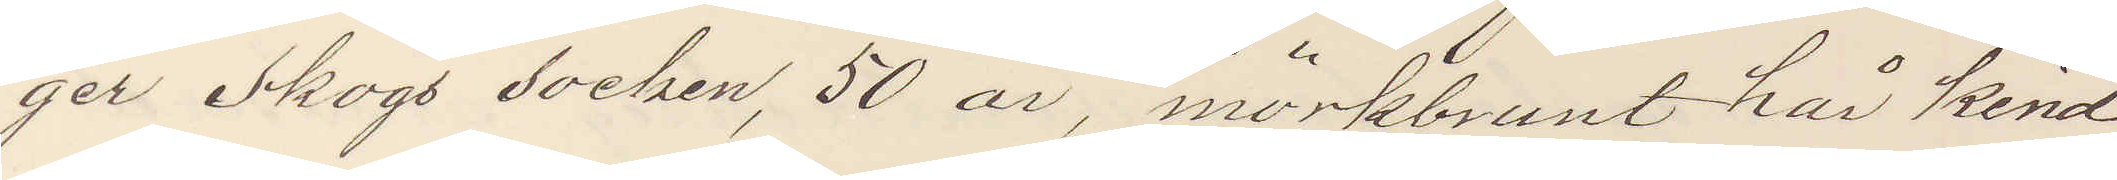ger Skogs socken, 50 år, mörkbrunt hår kind¬
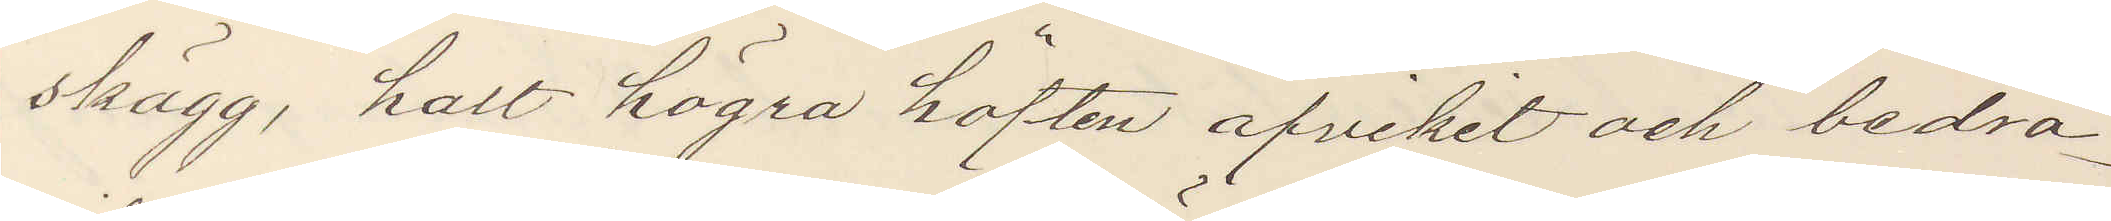skägg, halt högra höften afvikit och bedra¬
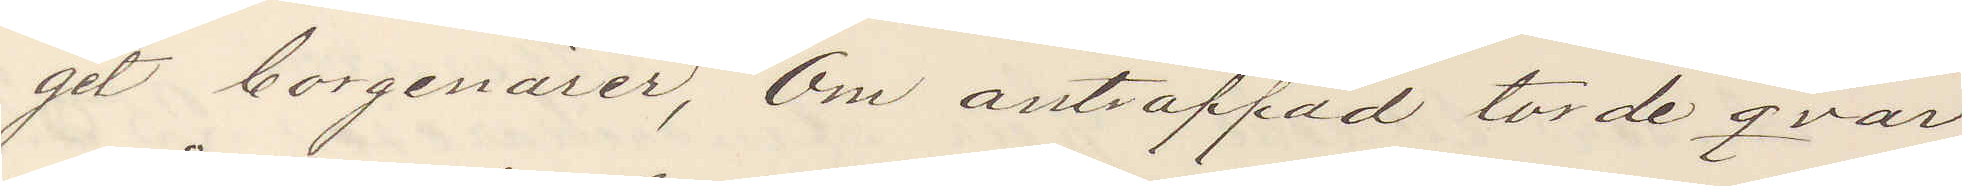git borgenärer, Om anträffad torde qvar¬
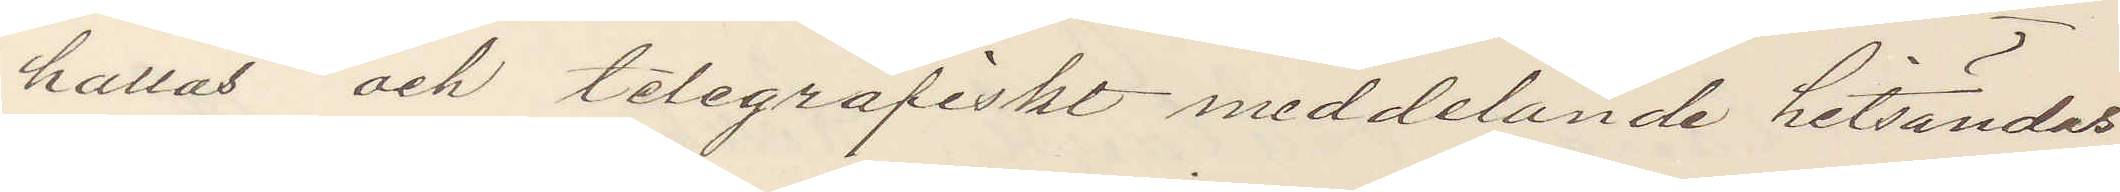hållas och telegrafiskt meddelande hitsändes.
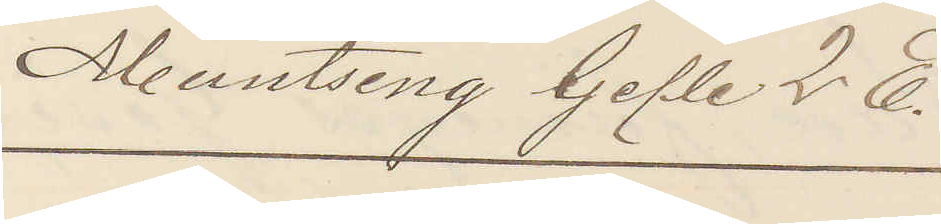Meuntsing Gefle 2 E.
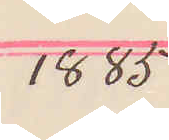1885
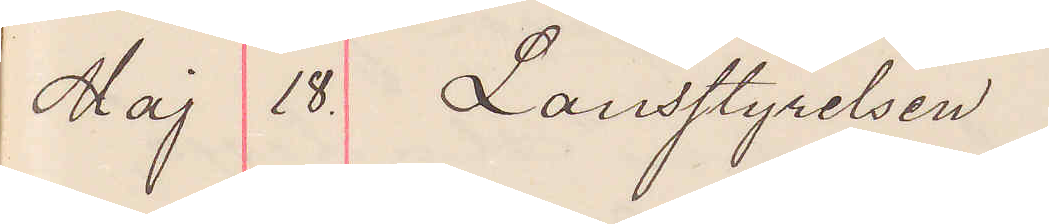Maj 18. Lansstyrelsen
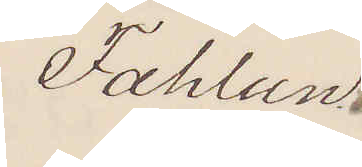Fahlun.
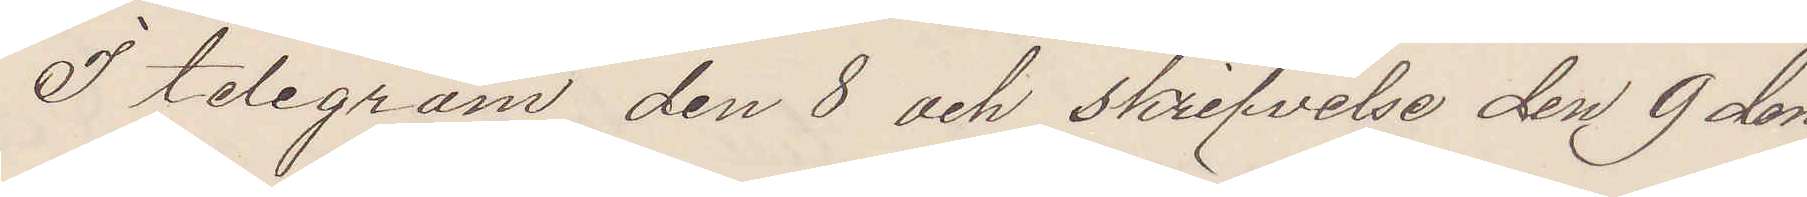I telegram den 8 och skrifvelse den 9 den¬
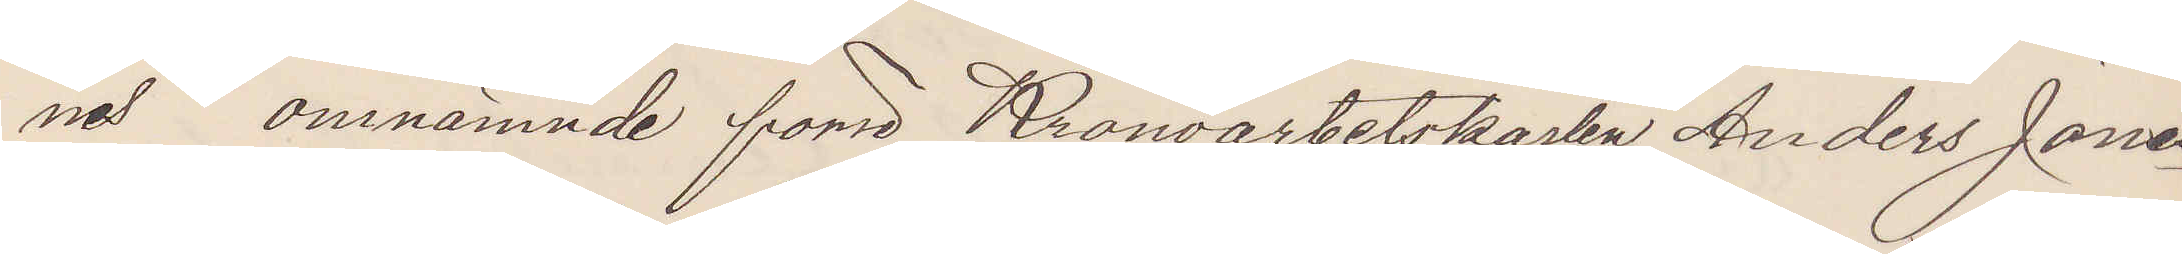nes omnämnde förre Kronoarbetskarlen Anders Jonas¬
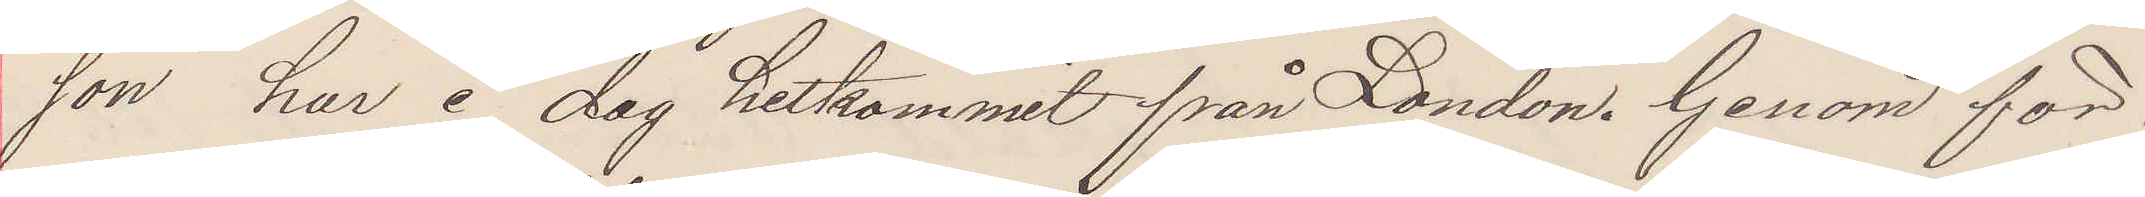son har i dag hitkommit från London. Genom för¬
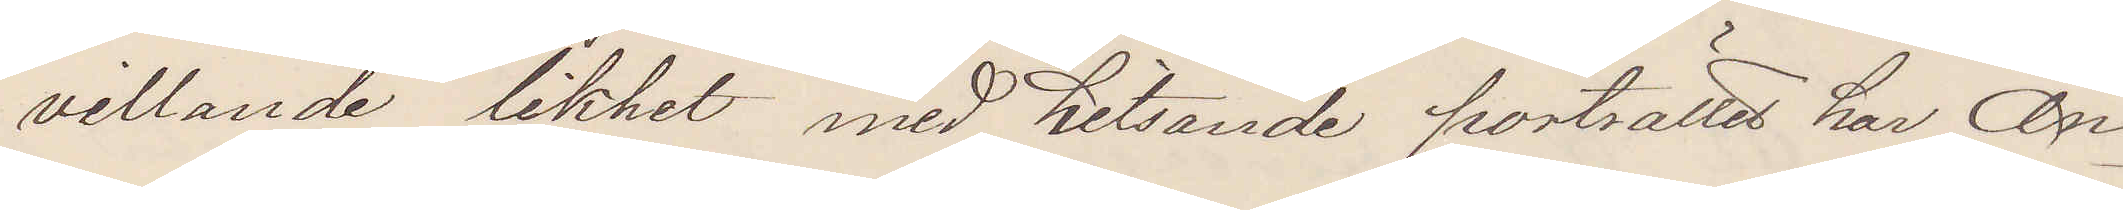villande likhet med hitsände porträttet har An¬
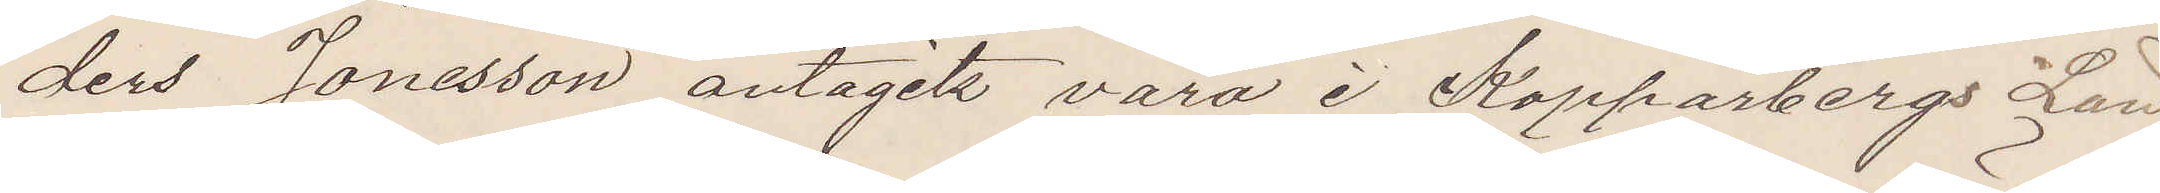ders Jonsson antagits vara i Kopparbergs Län
